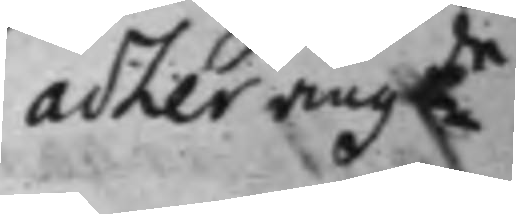adler angde
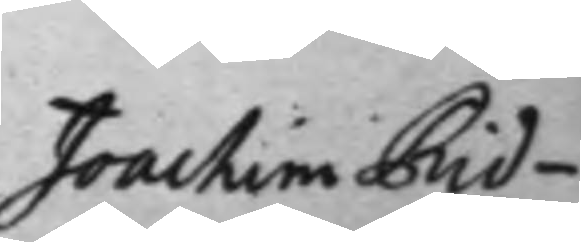Joachim Rid¬
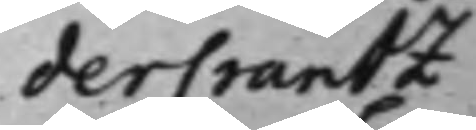derCrantz
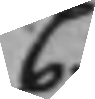C
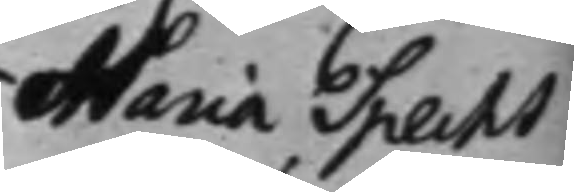Maria Specht
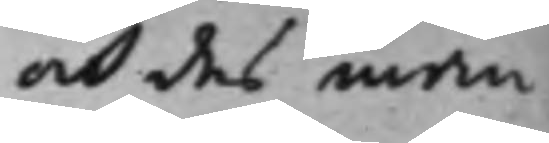och des man
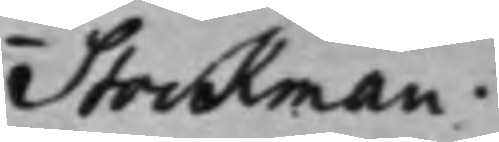Stockman.
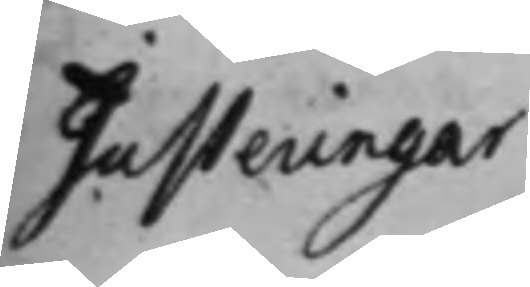Justeringar
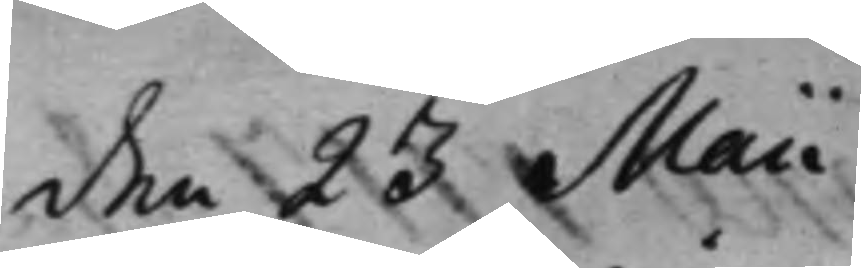den 23 Maii
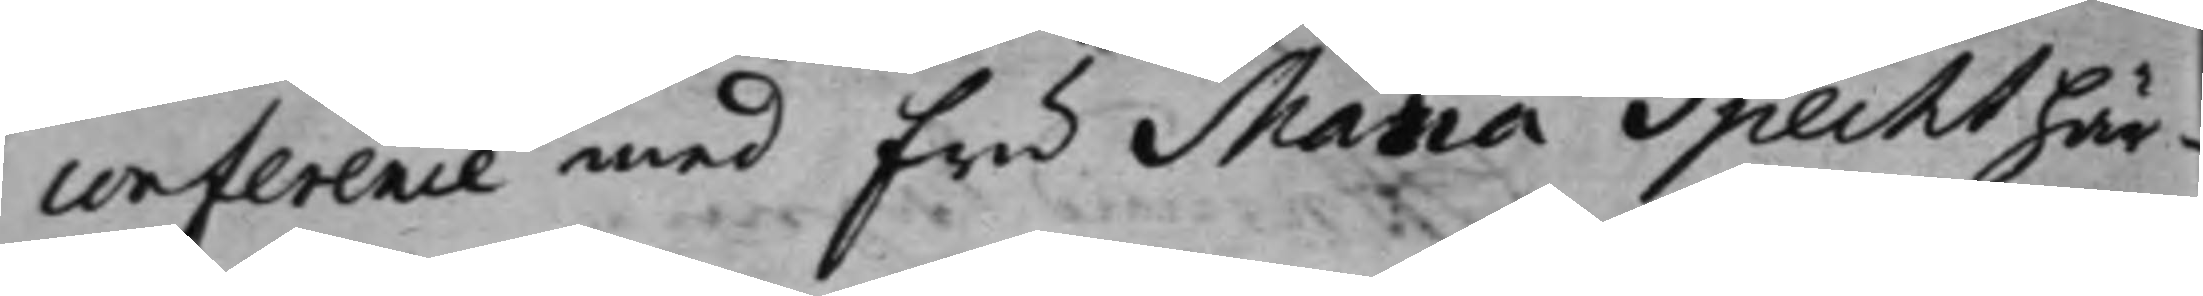conference med fru Maria Specht här¬
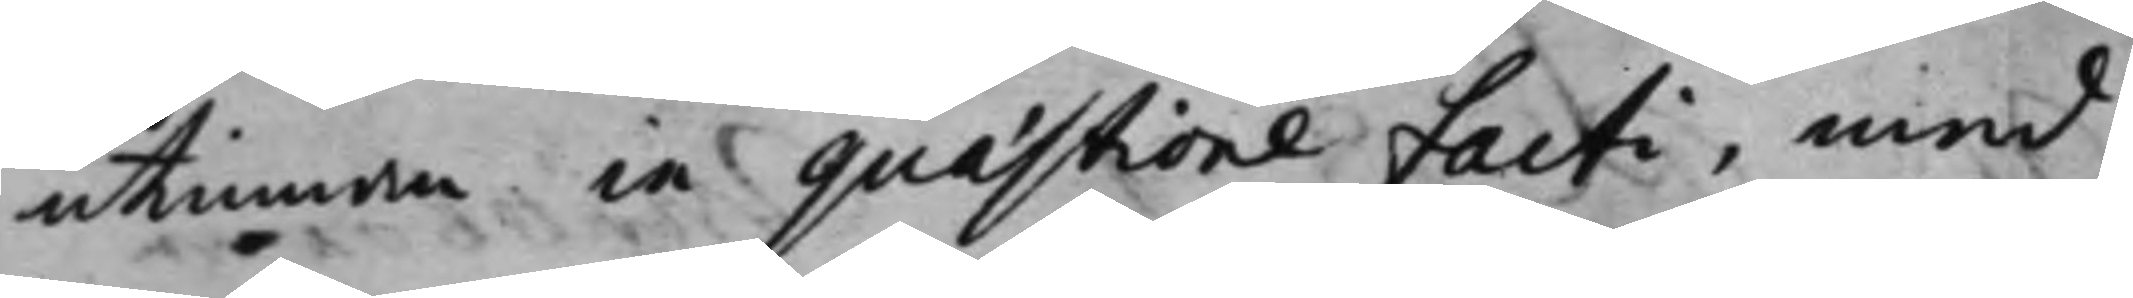utinnan in quæstione facti, med
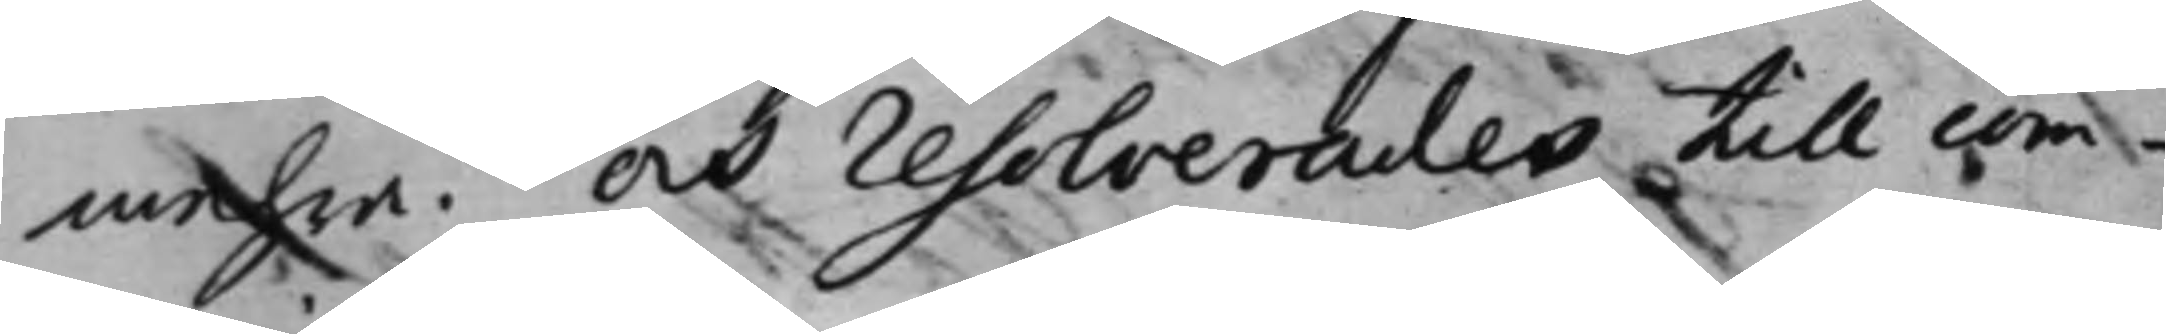mehra. Och resolverades till com¬
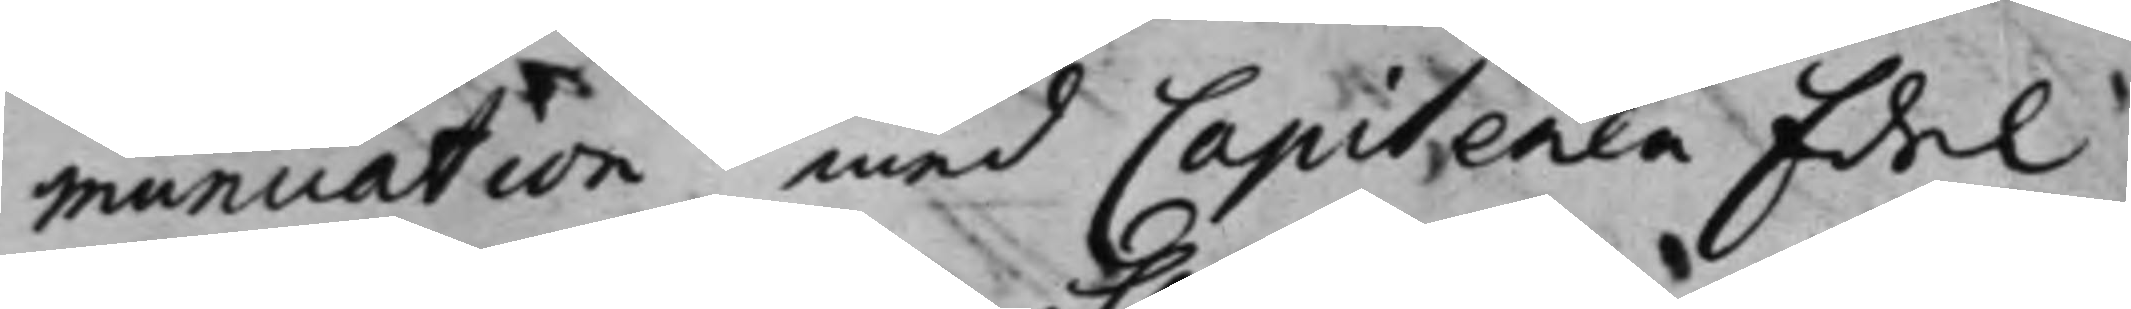munication med Capitenen Edel.
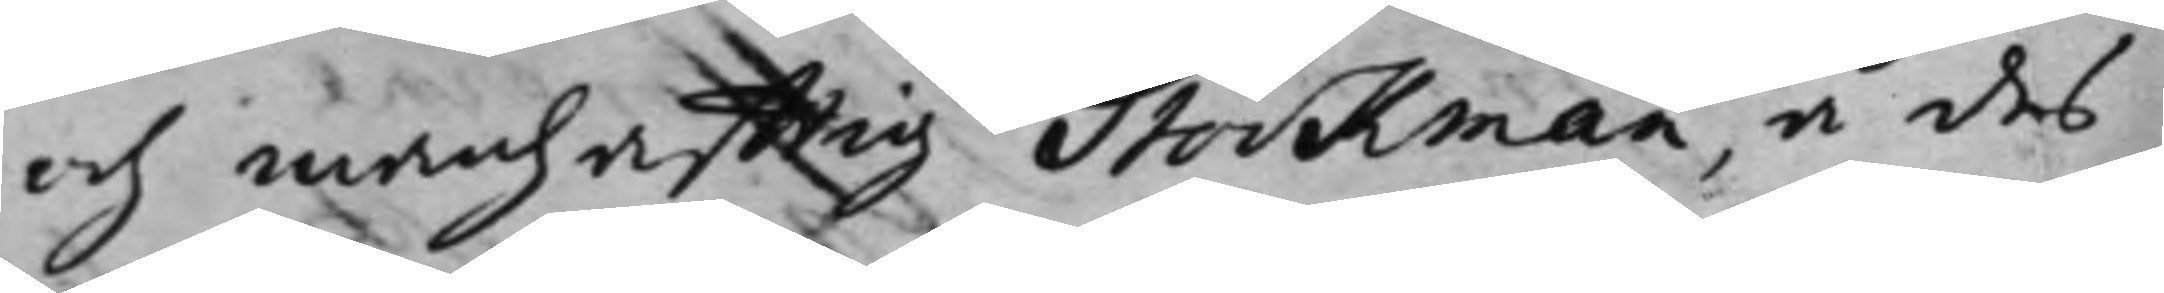och manhafftig Stockman, å des
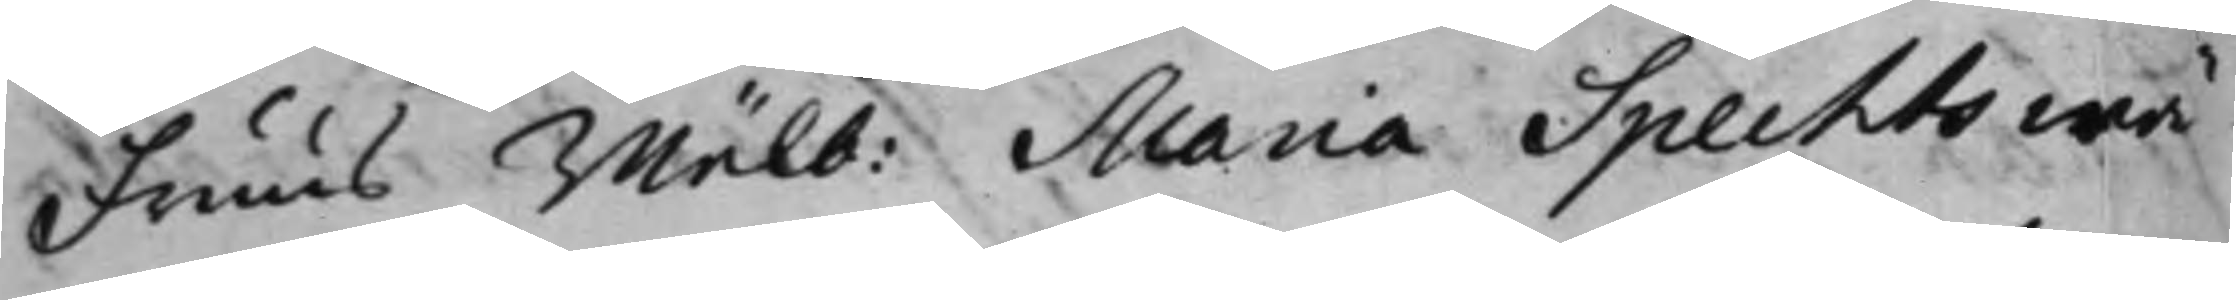fruus, wälb: Maria Spechts wä¬
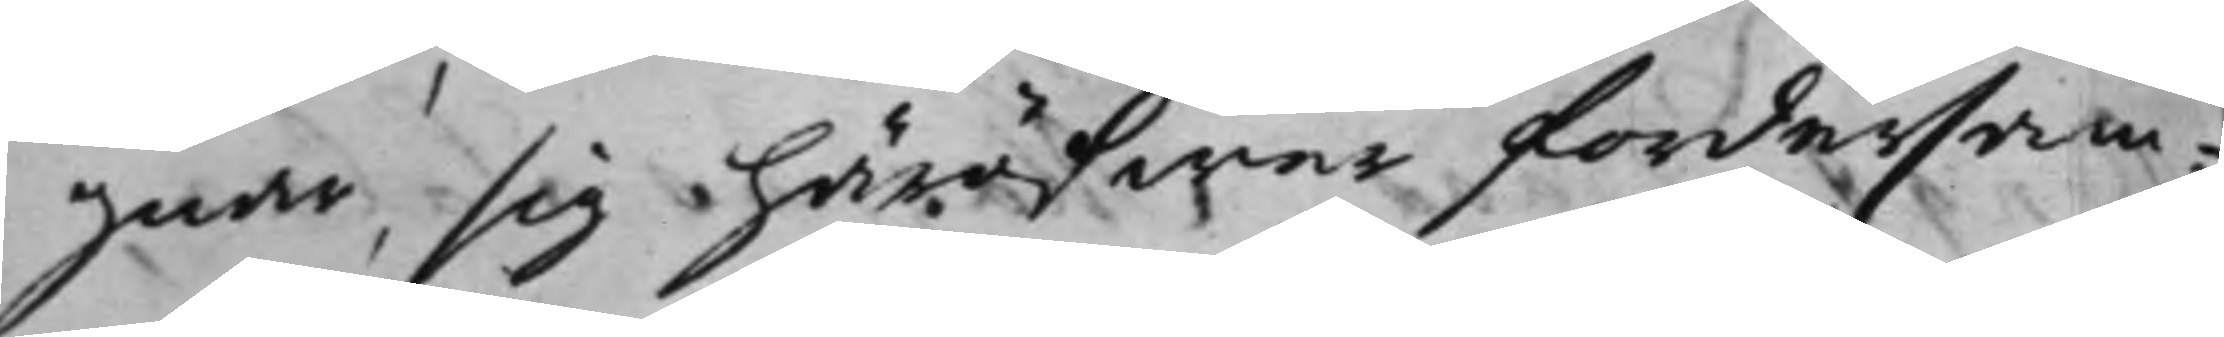gnar, sig häröfwer fordersam¬
